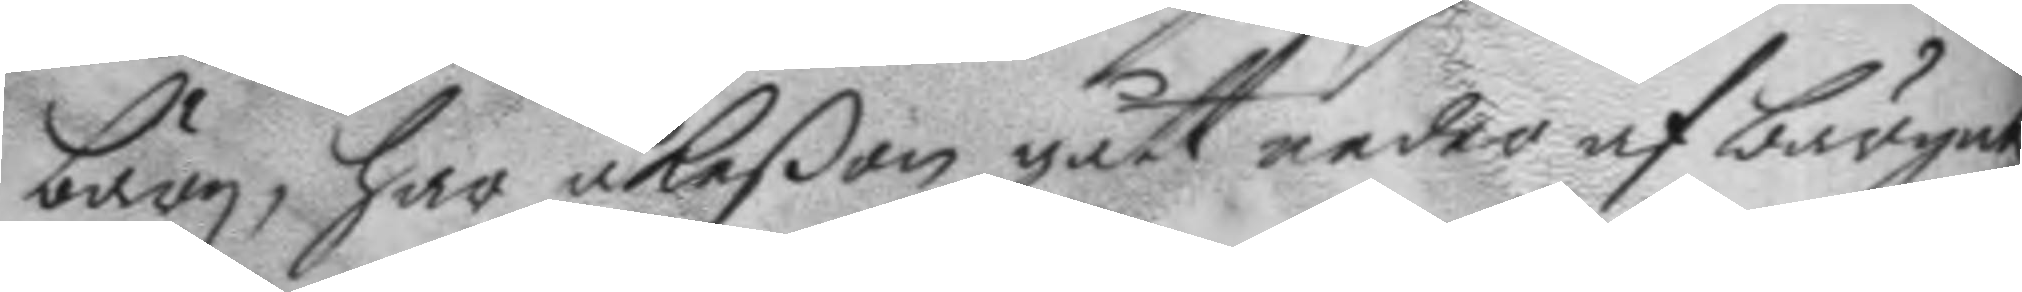bärg, har åkeßon gått neder af bärget
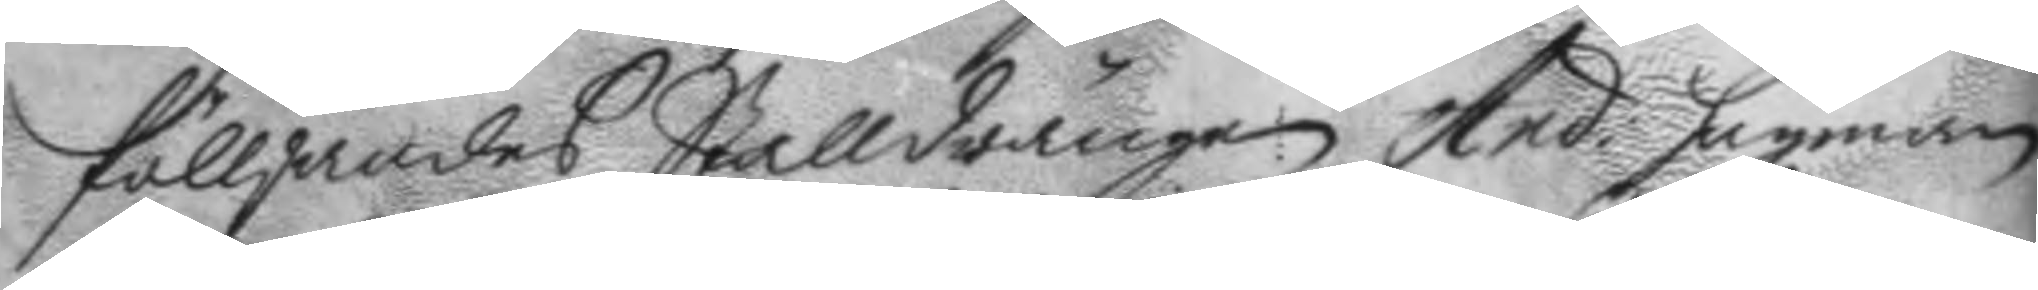fölljandes Stalldrängen And: hagman
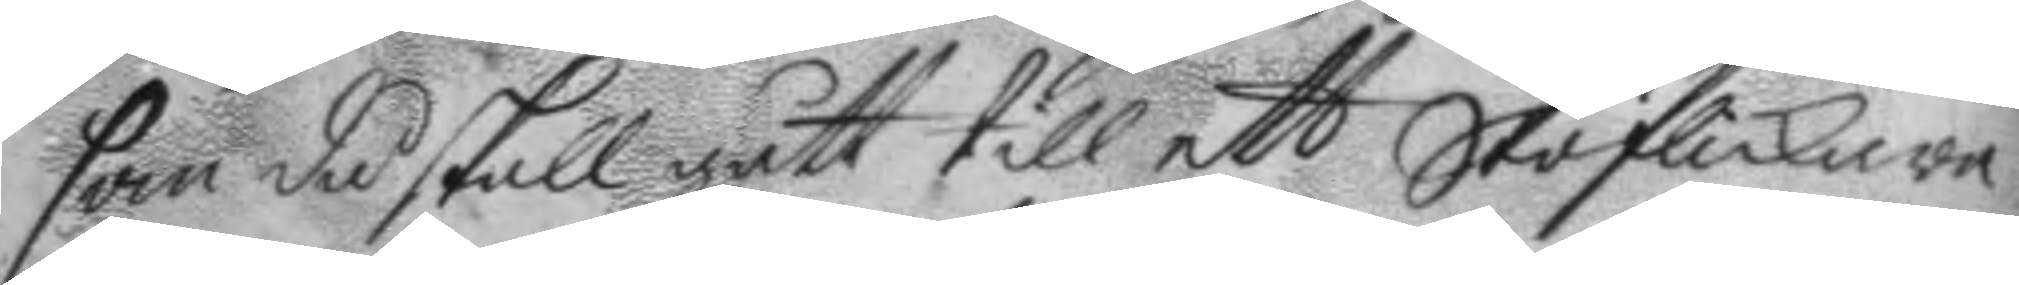som då skall gått till ett Skoflickare
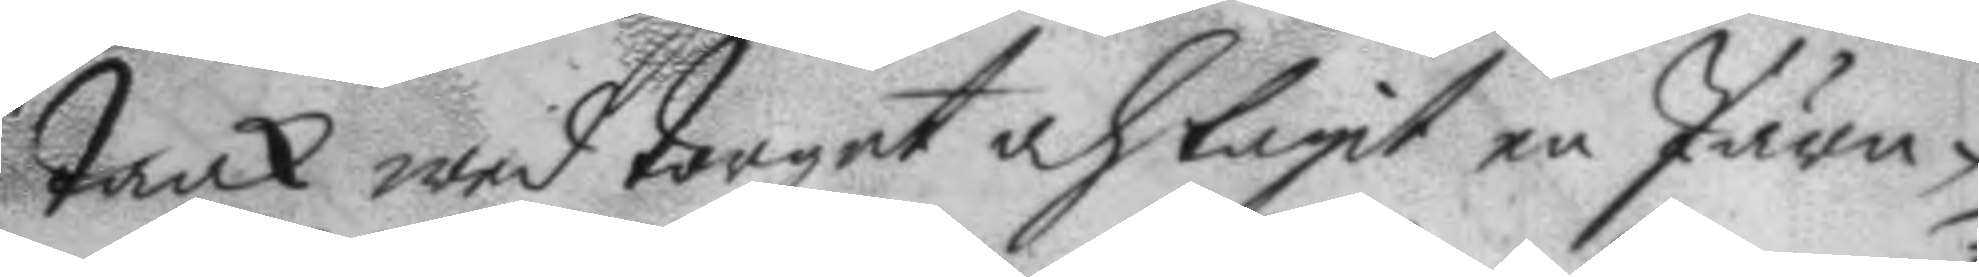tank wed torget och tagit en Järn¬
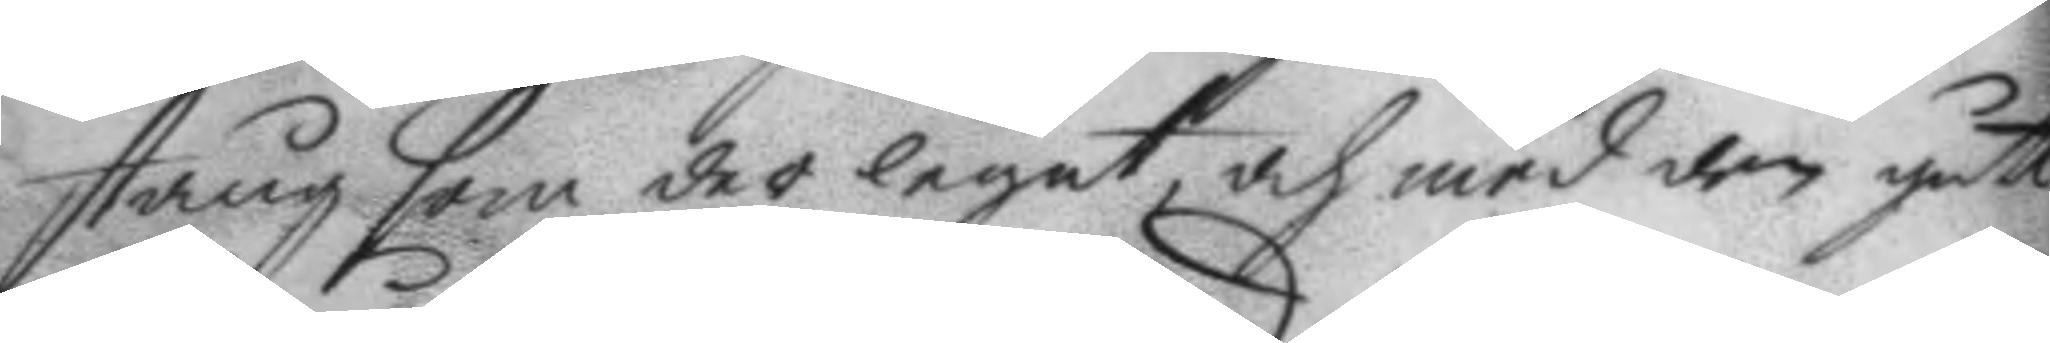stång som der legat, och med den gått
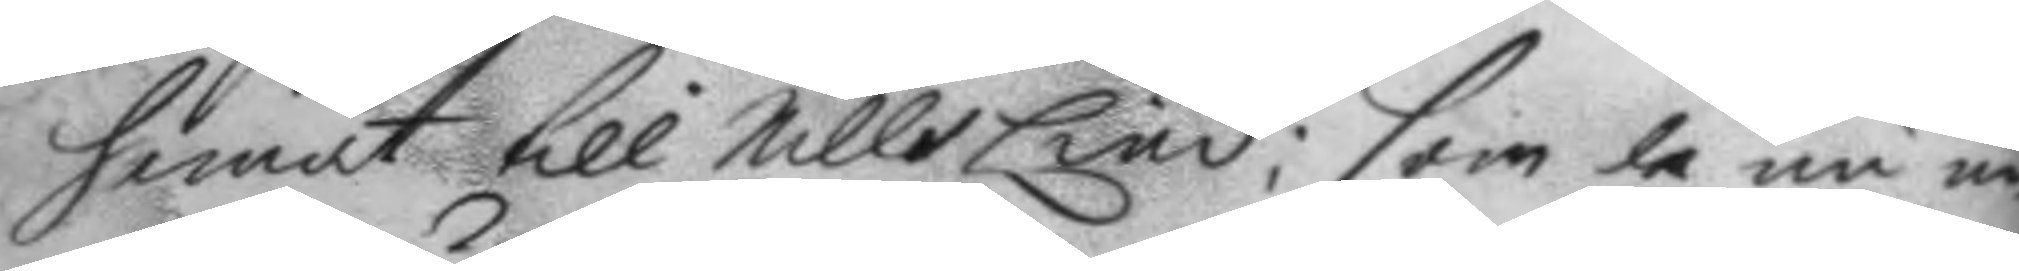hemåt till Nills Lind; som de nu un¬
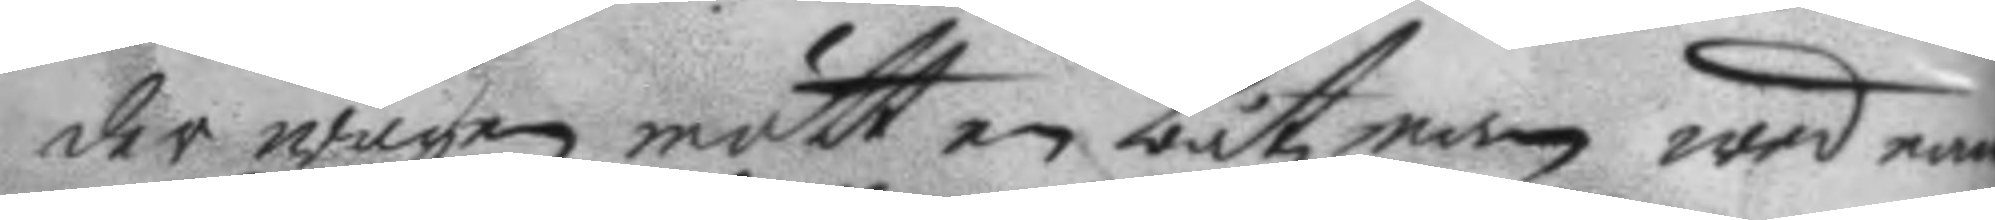der wägen mött en båtzman wed namn
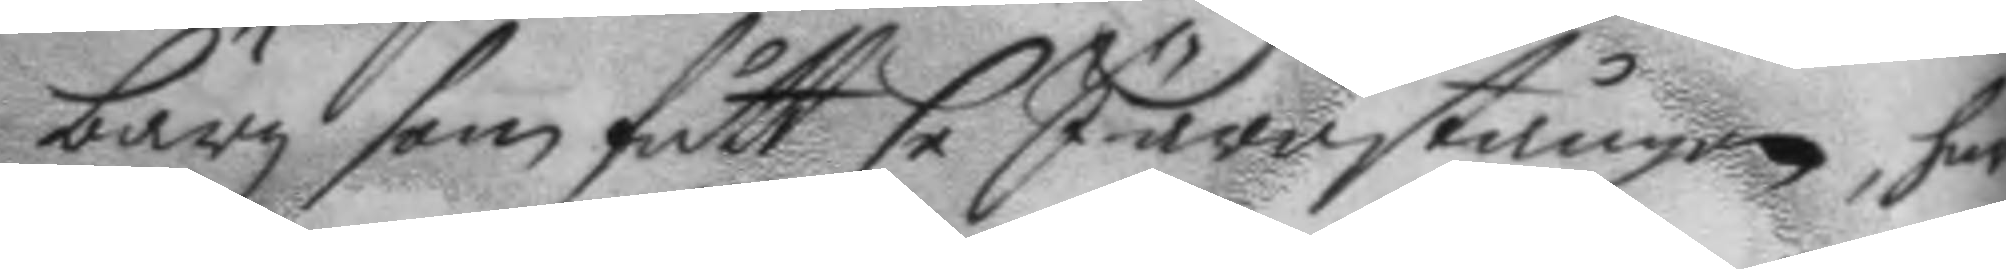bärg som fått se Järnstången, har
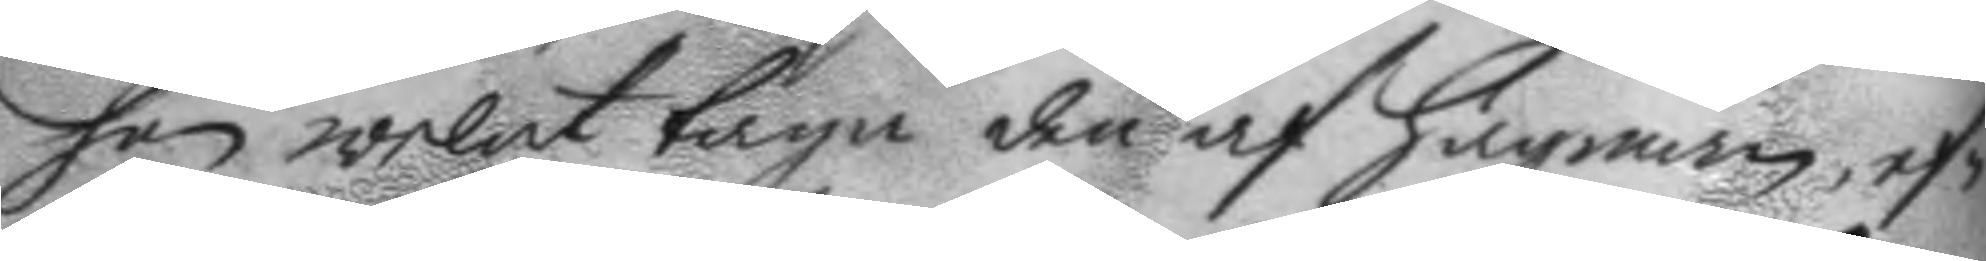han welat taga den af hagman, ef¬
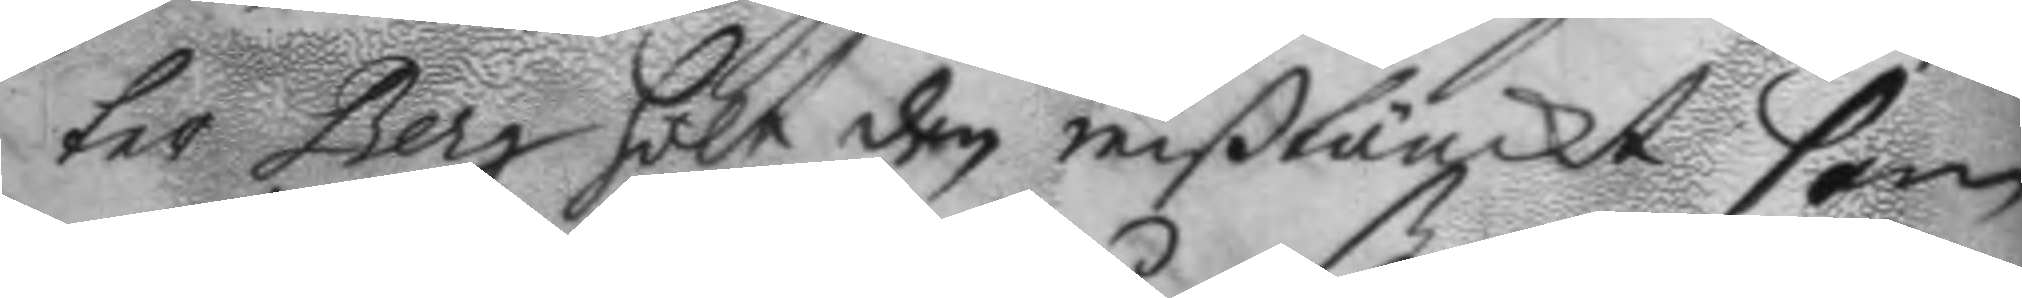ter Berg hölt den mißtänckt som
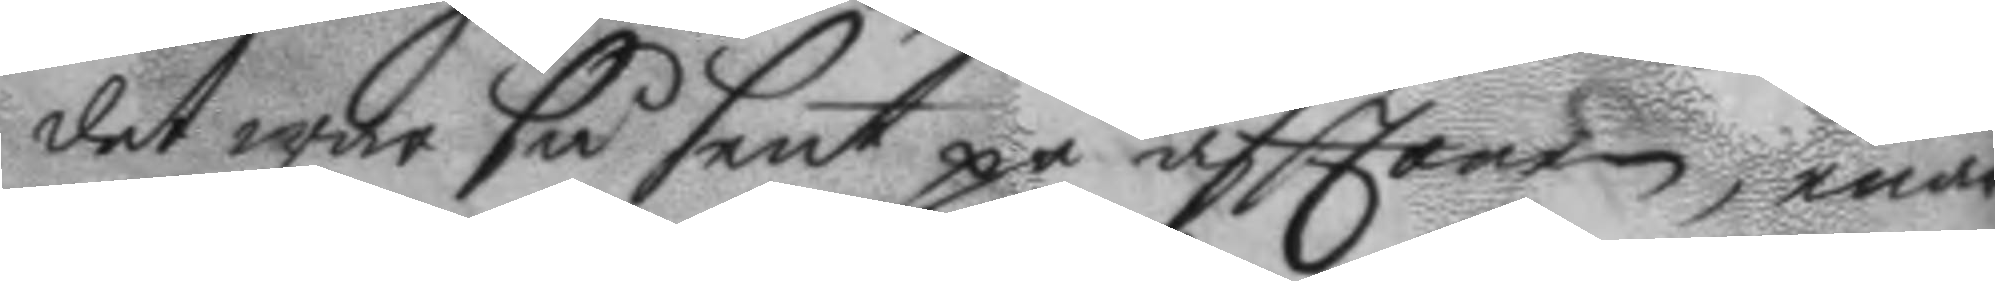det war så sent på afttonen, enär
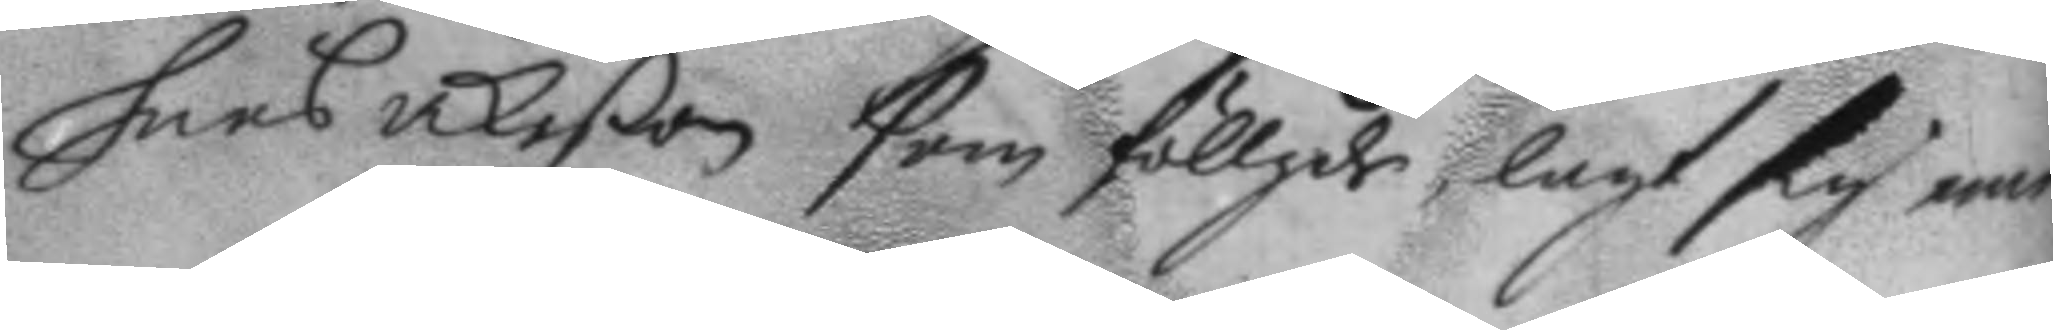hans åkeßon som föllgde, lagt sig eme¬
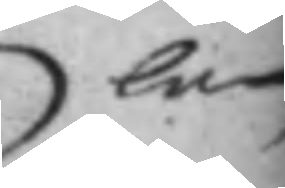lan
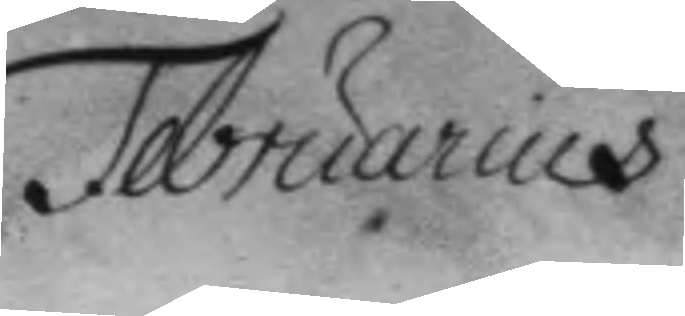Februarius
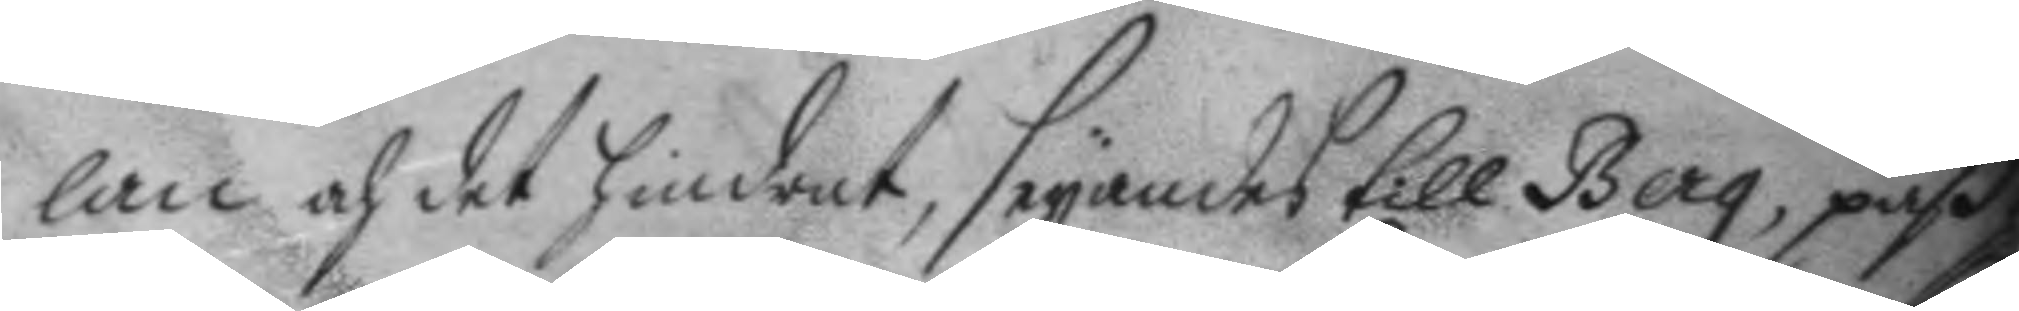lan och det hindrat, säyandes till Berg, paß,
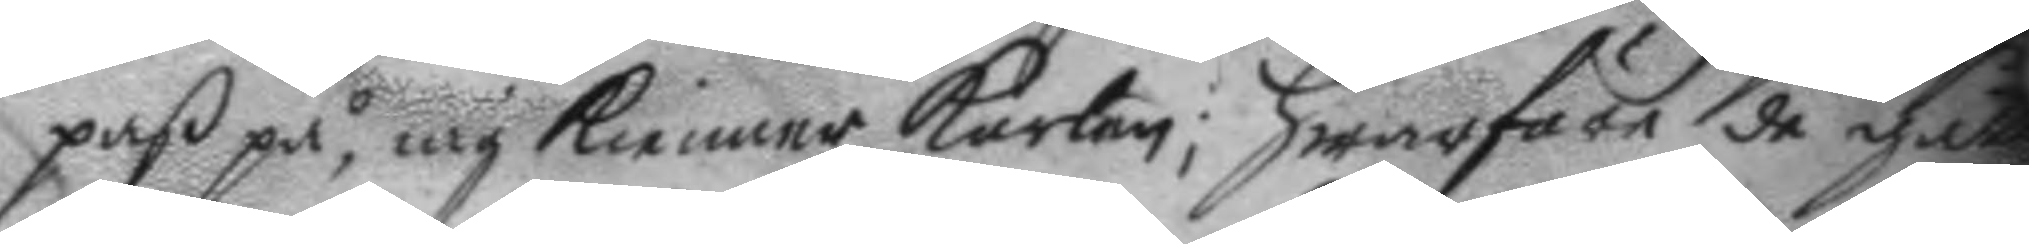paß på, iag kienner karlen; hwarföre de gått
